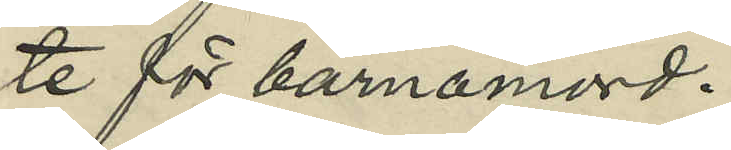te för barnamord.
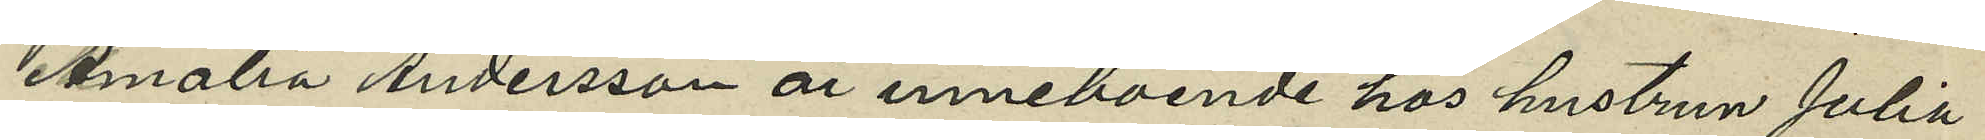Amalia Andersson är inneboende hos hustrun Julia
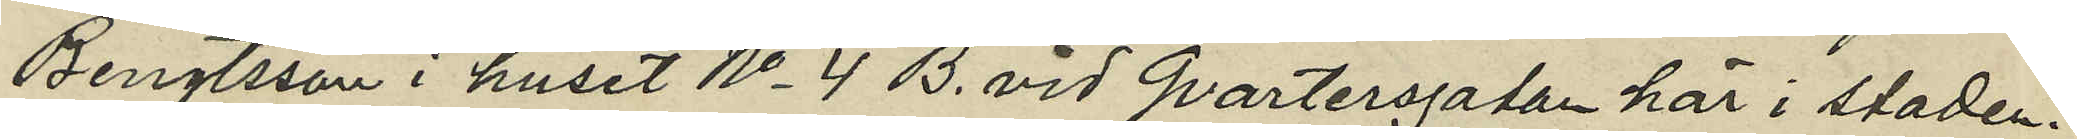Bengtsson i huset No 4 B. vid Qvartersgatan här i staden.
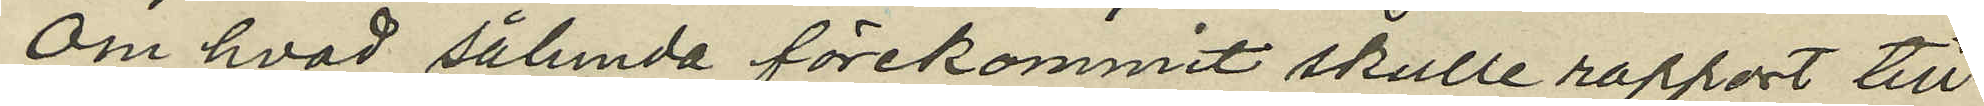Om hvad sålunda förekommit skulle rapport till
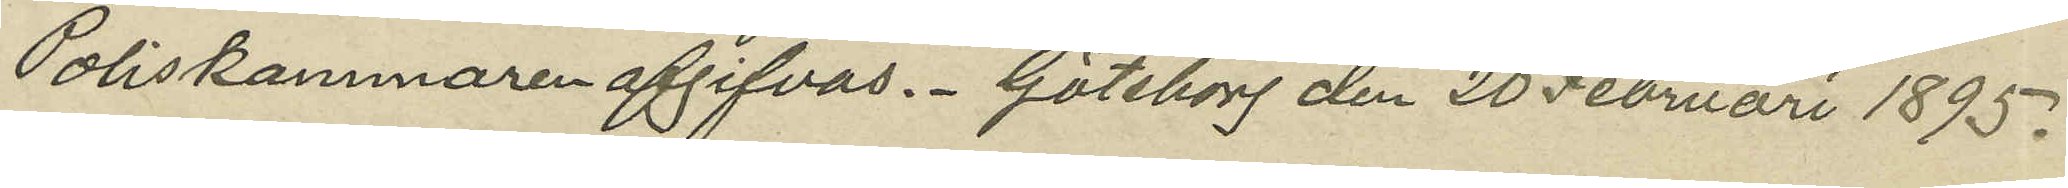Poliskammaren afgifvas. Göteborg den 20 Februari 1895.
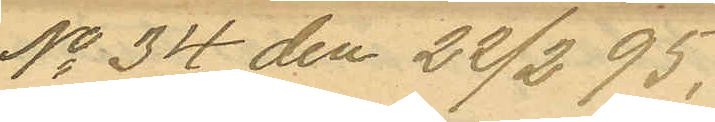No 34 den 22/2 95.
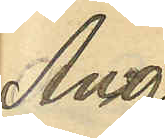Ang
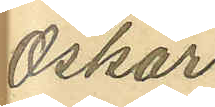Oskar
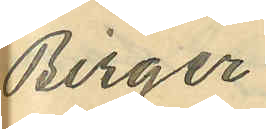Birger
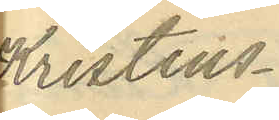Kristens¬
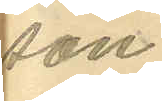son
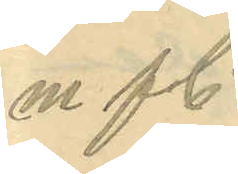m fl.
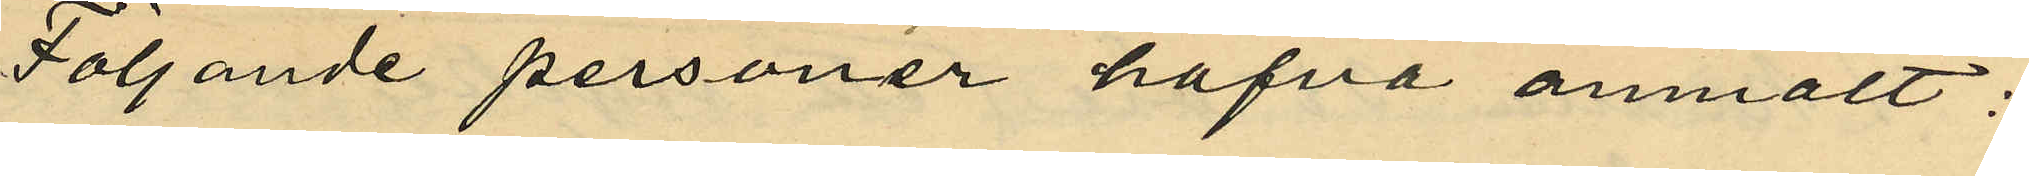Följande personer hafva anmält:
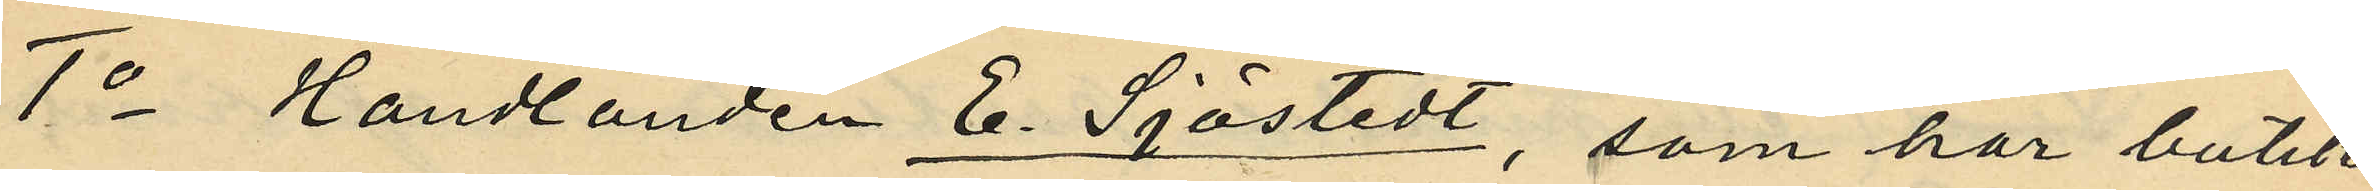1o Handlanden E. Sjöstedt, som har butik
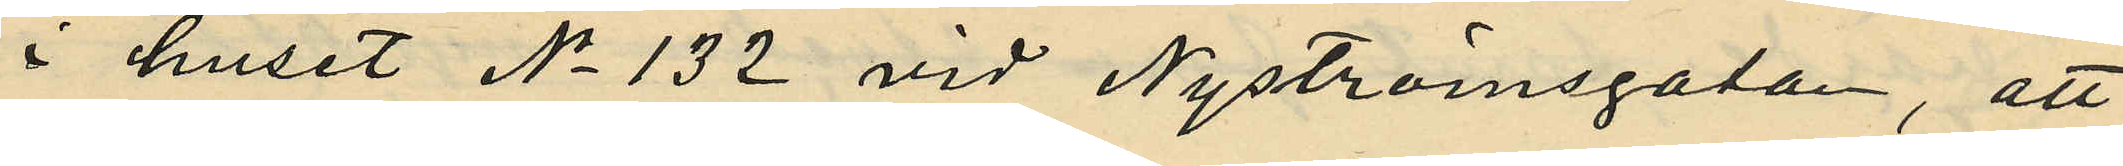i huset No 132 vid Nyströmsgatan, att
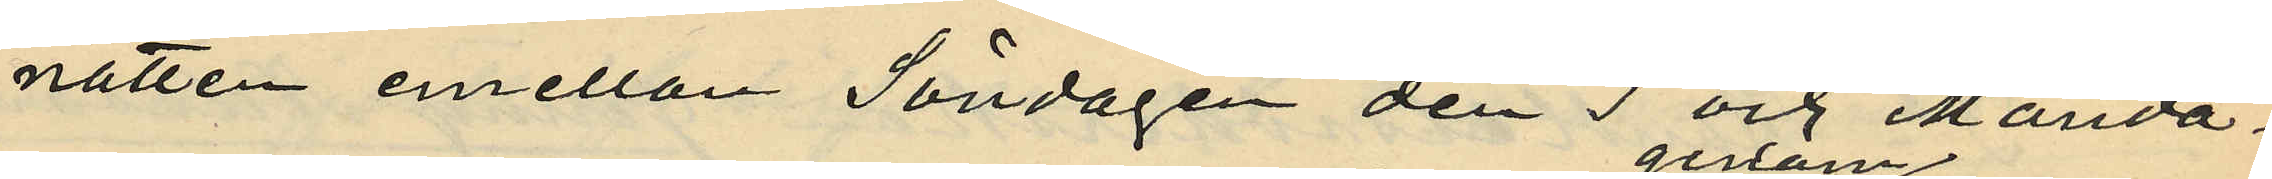natten emellan Söndagen den 3 och Månda¬
